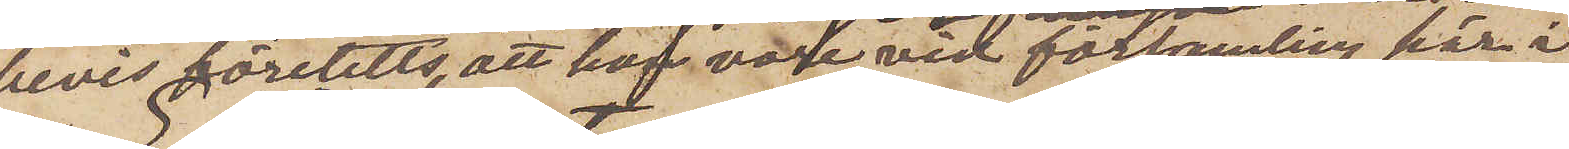bevis företetts, att han vore vid församling här i
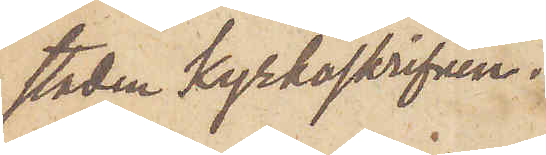staden kyrkoskrifven.
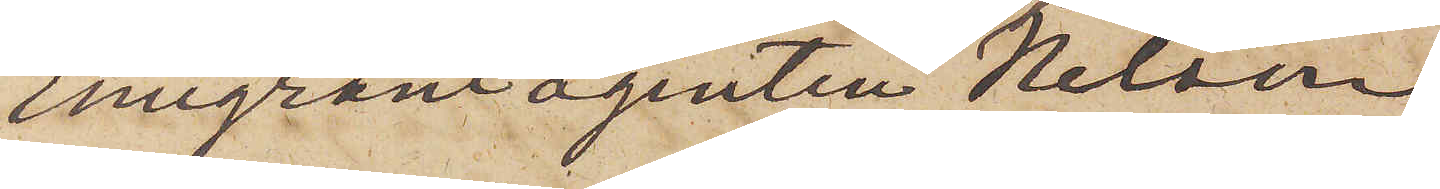Emigrantagenten Nelson,
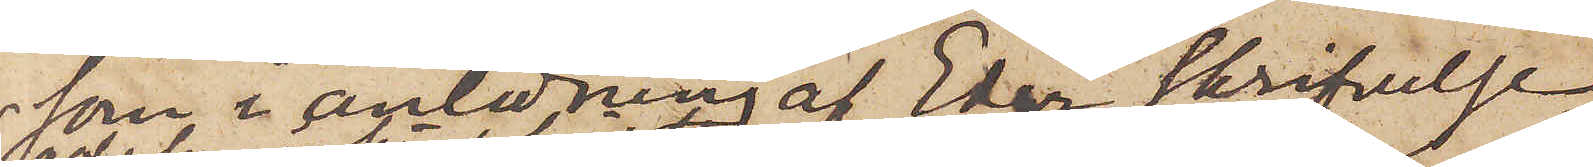som i anledning af Eder skrifvelse
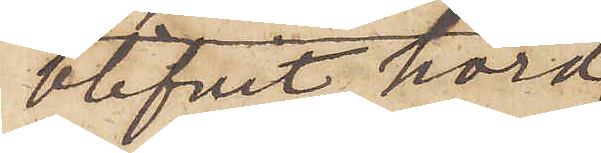blifvit hörd,
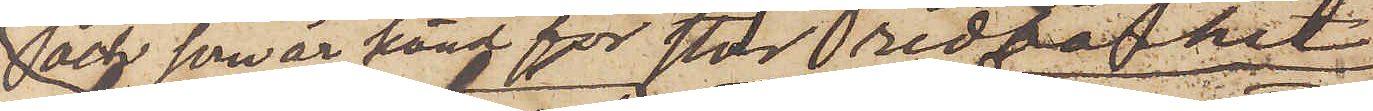och som är känd för stor redbarhet,
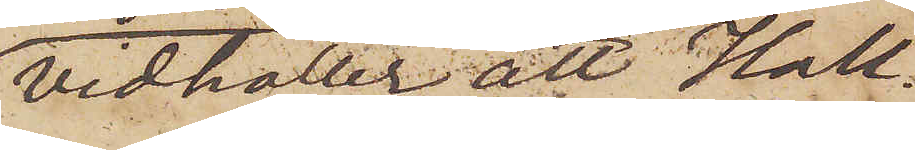vidhåller att Hall¬
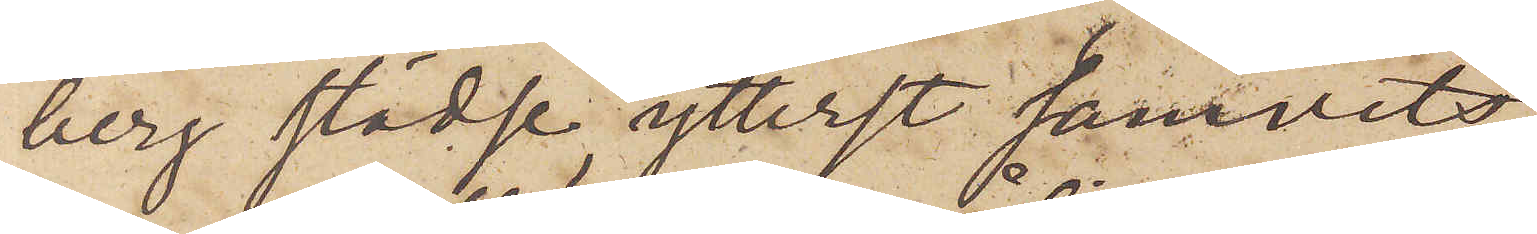berg städse ytterst samvets¬
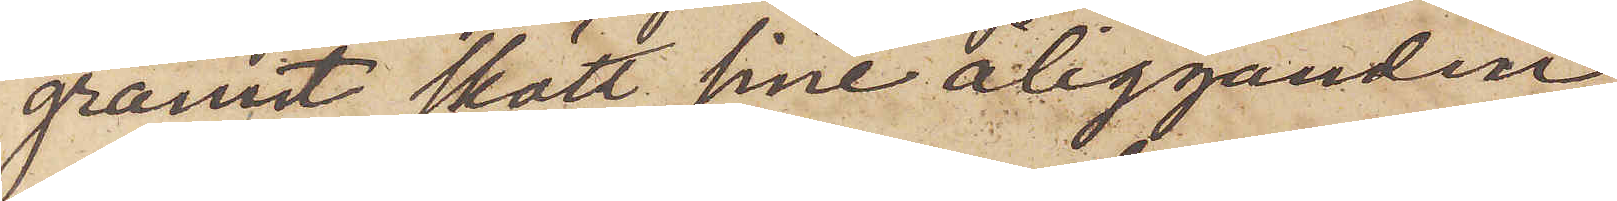grannt skött sina åligganden
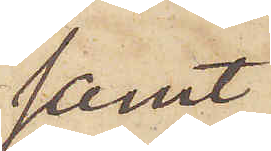samt
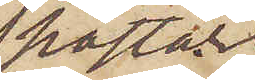påstår,
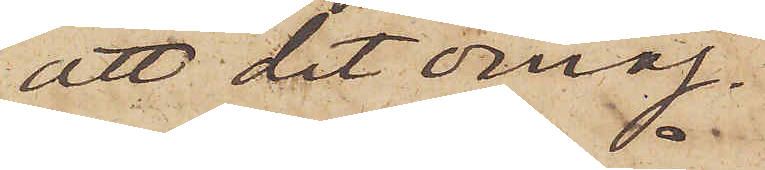att det omöj¬
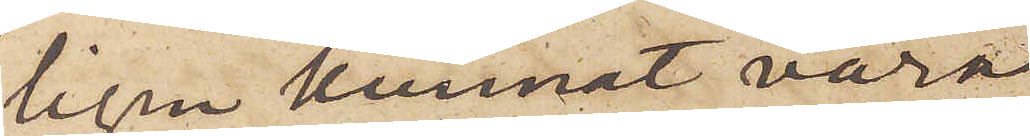ligen kunnat vara
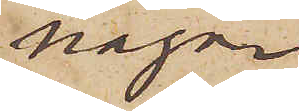någon
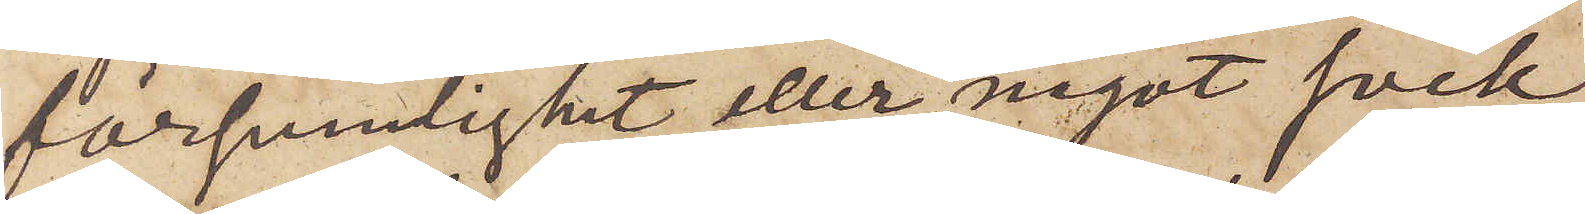försumlighet eller något svek
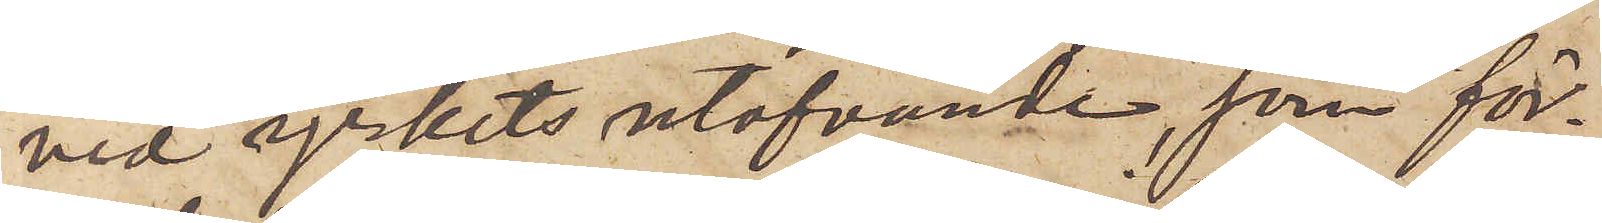vid yrkets utöfvande, som för¬
